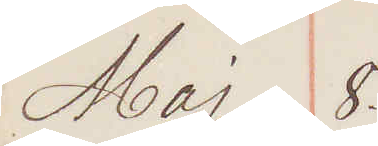Maj 8.
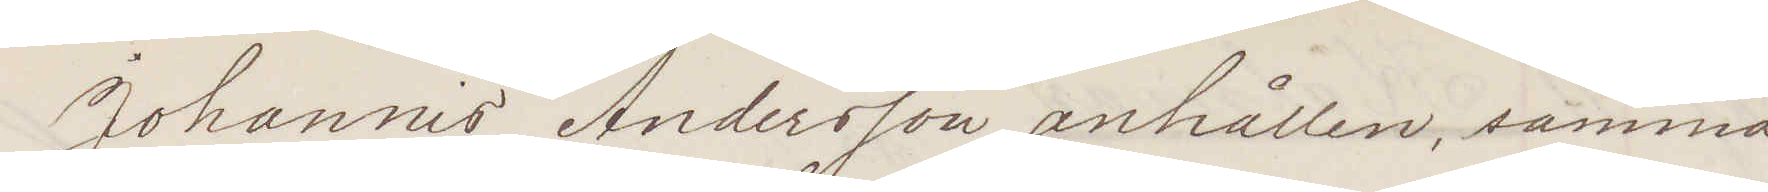Johannis Andersson anhållen, samma
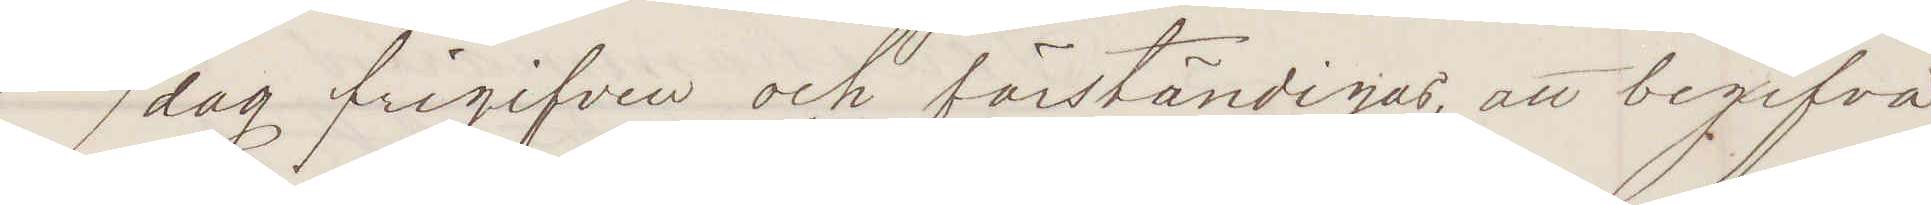dag frigifven och förständigas, att begifva
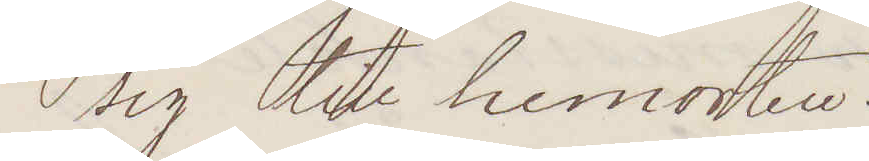sig till hemorten.
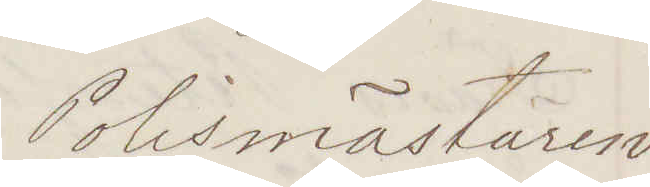Polismästaren
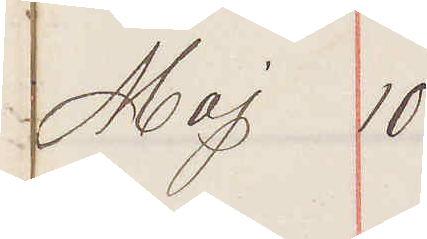Maj 10.
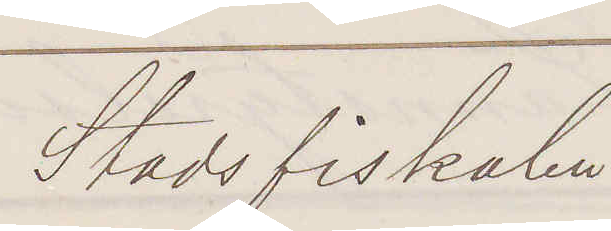Stadsfiskalen.
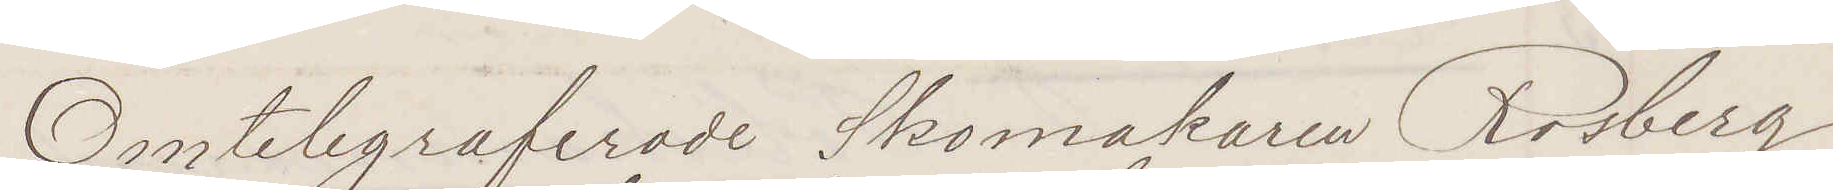Omtelegraferade Skomakaren Rosberg
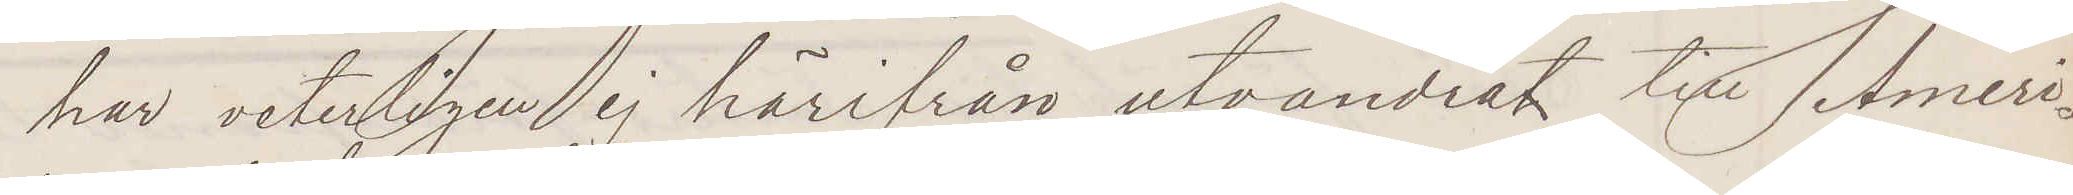har veterligen ej härifrån utvandrat till Ameri¬
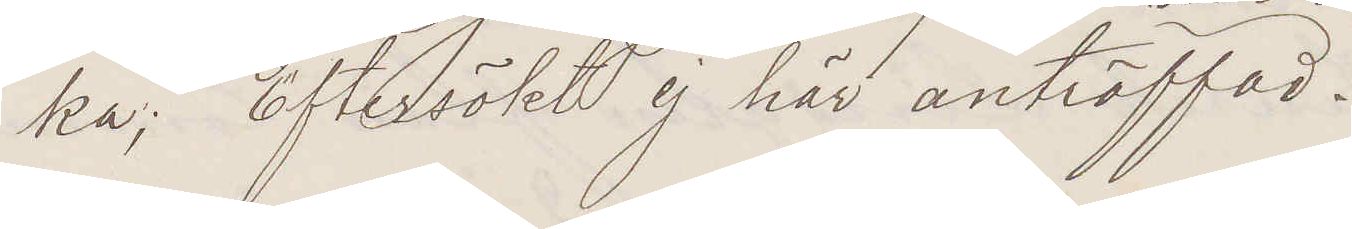ka; Eftersökt ej här anträffad.
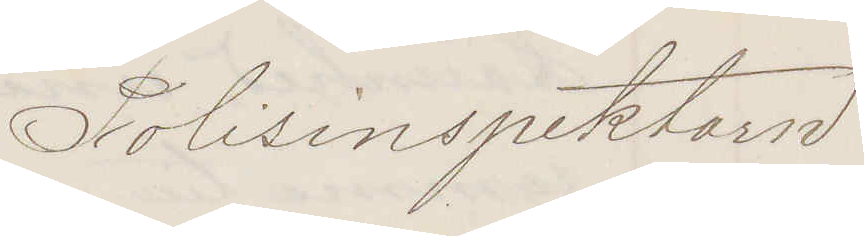Polisinspektorn
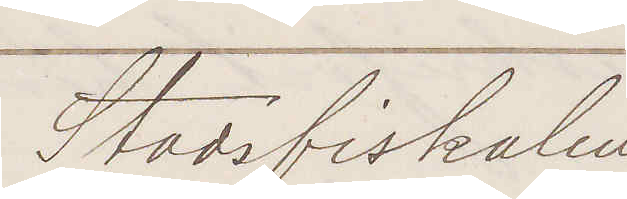Stadsfiskalen
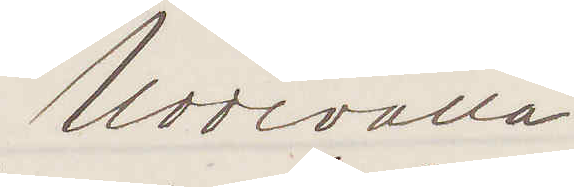Uddevalla.
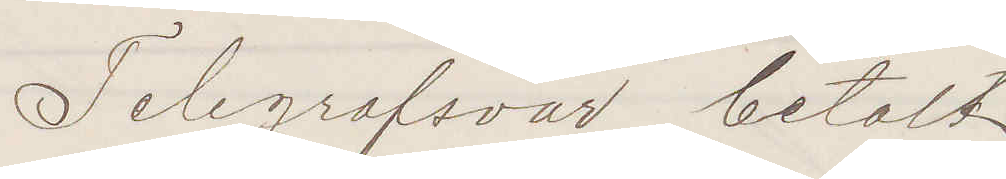Telegrafsvar betalt.
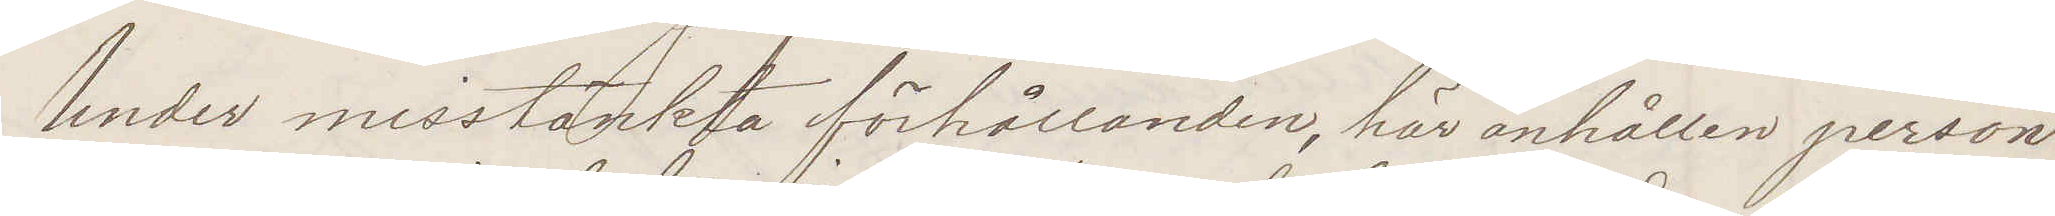Under misstänkta förhållanden här anhållen person
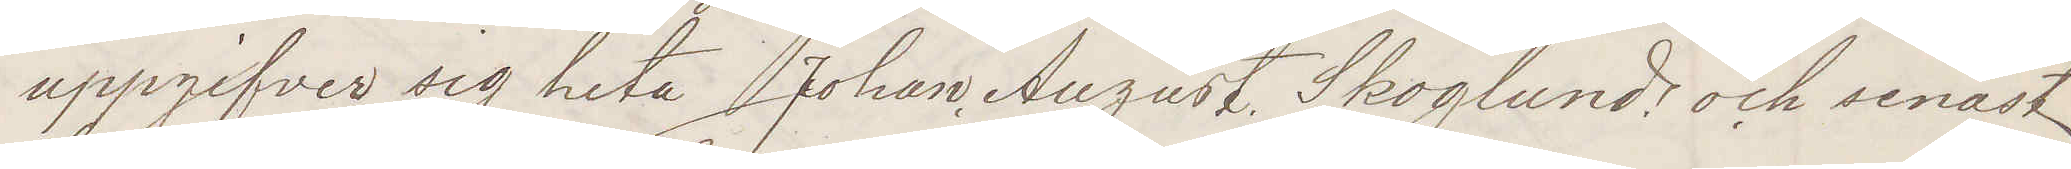uppgifver sig heta Johan August Skoglund och senast
